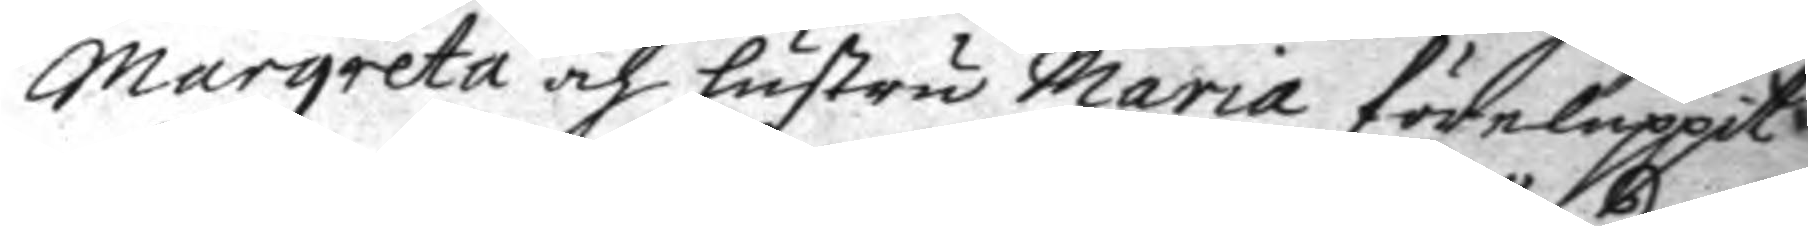Margareta och hustro Maria föreluppit
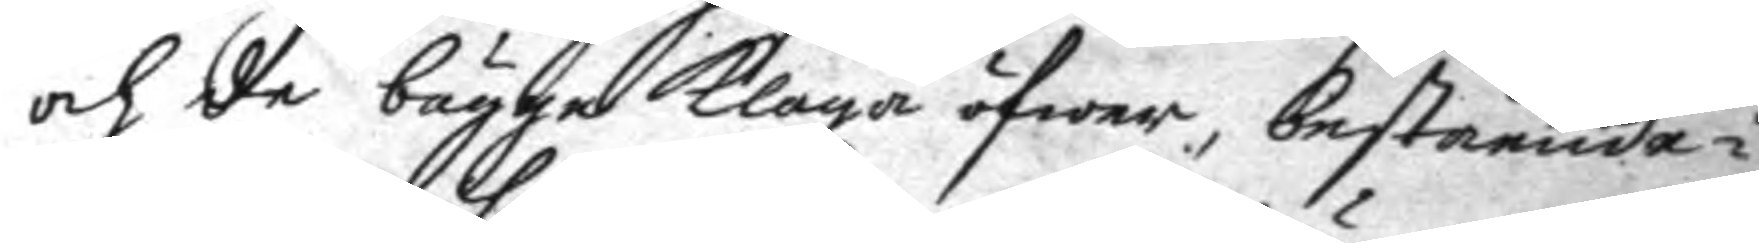och de bägge klaga öfwer, bestående i
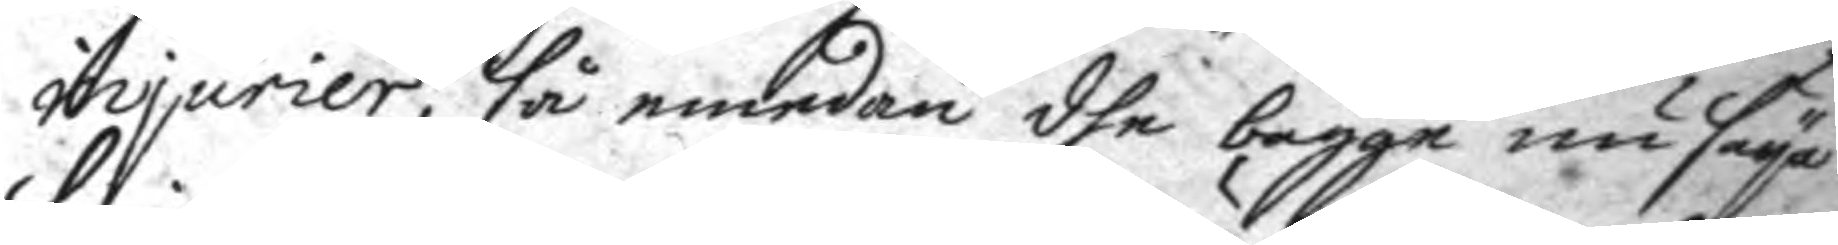injurier, så emedan dhe bägge nu seya
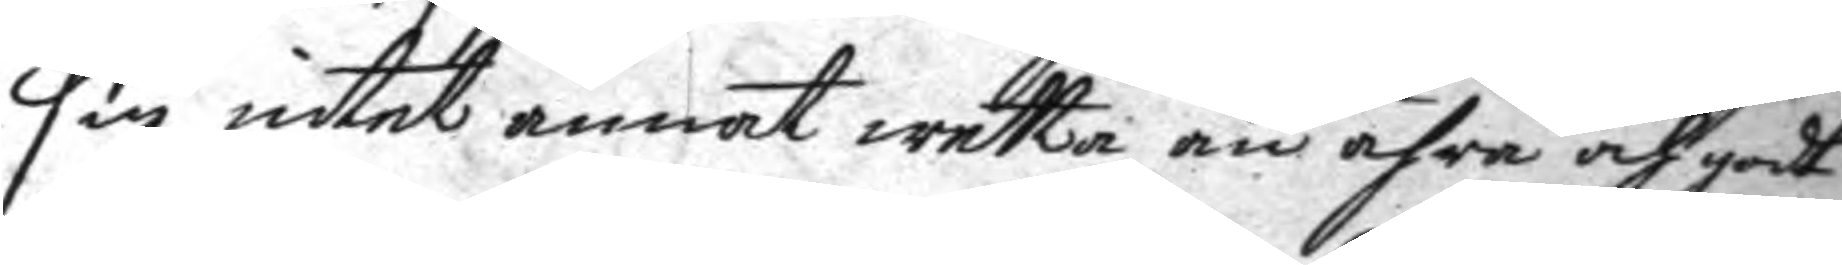sig intet annat wetta än ähra och godt
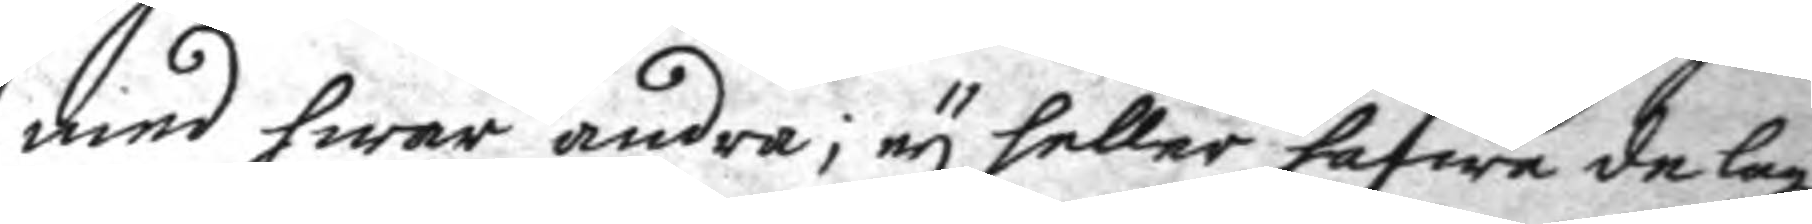med hwar andra; ey heller hafwa de lagl.
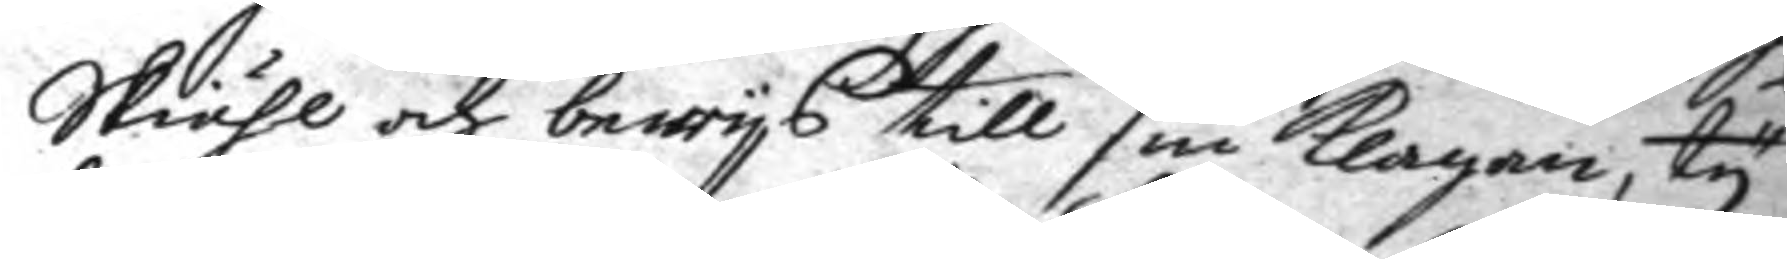Skiähl och bewys till sin klagan, ty
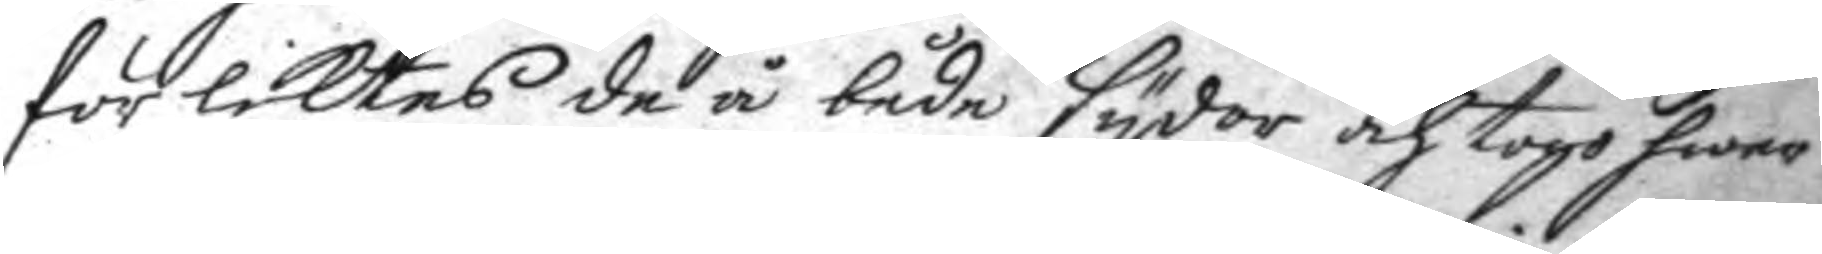förliktes de å både sydor och togo hwar
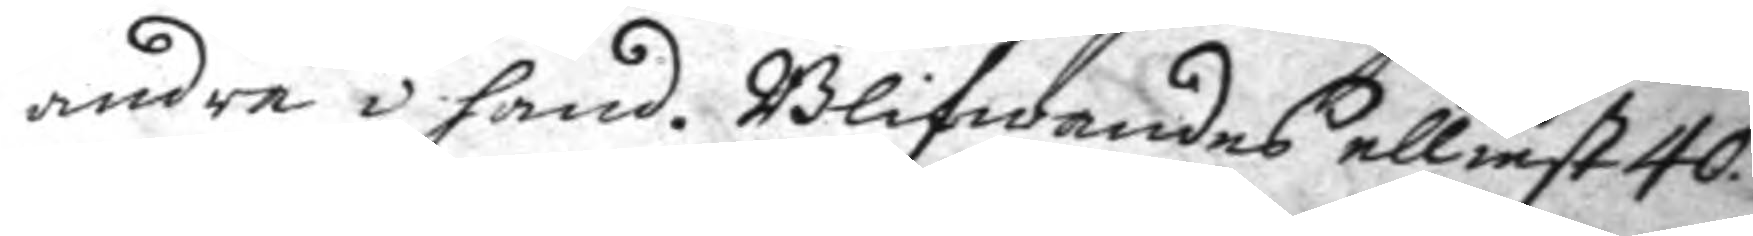andra i hand. Blifwandes elliest 40.
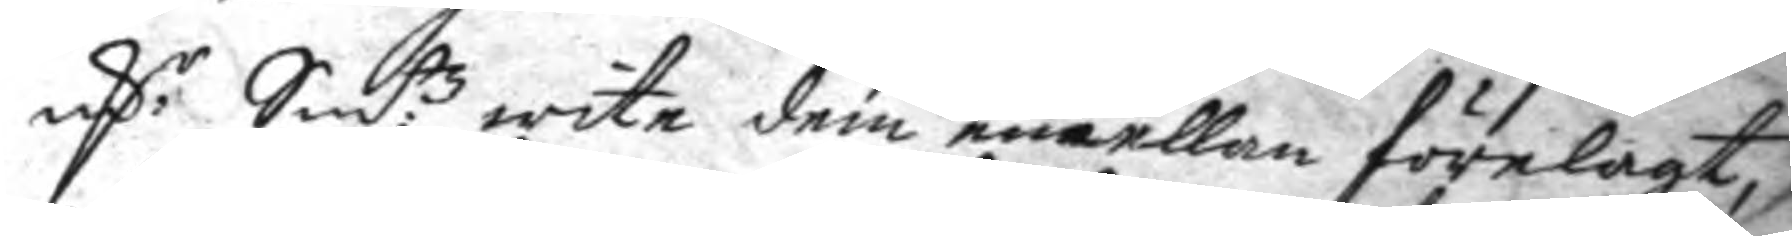mC.r Sm:tz wite dem emellan förelagt,
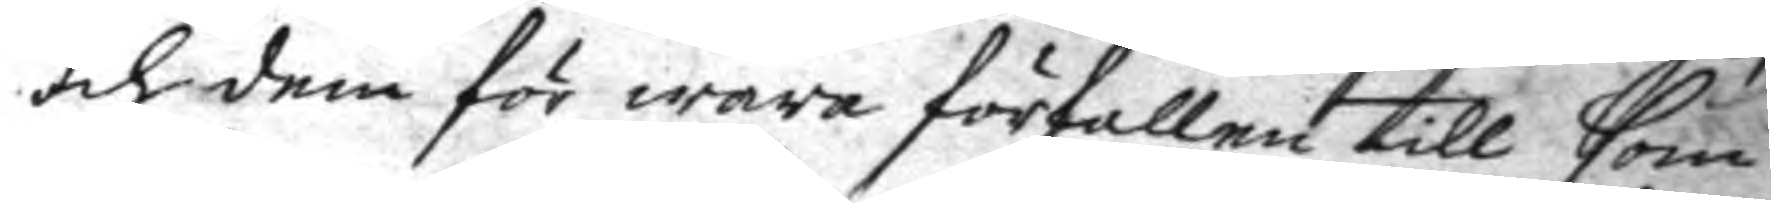och dem för wara förfallen till som
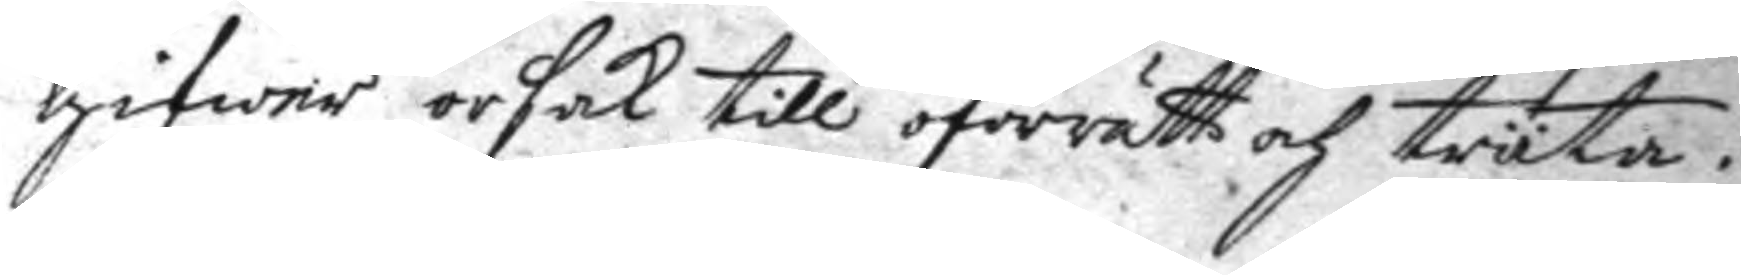gifwer orsak till oförrätt och trta.
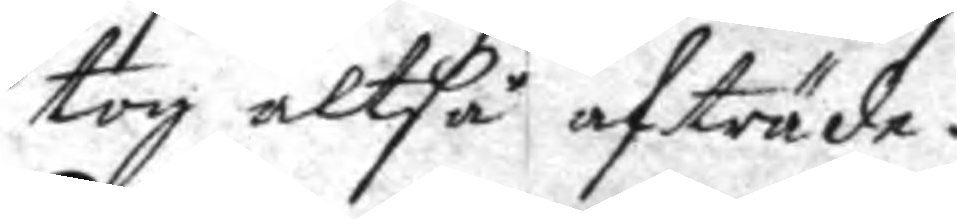tog altså afträde.
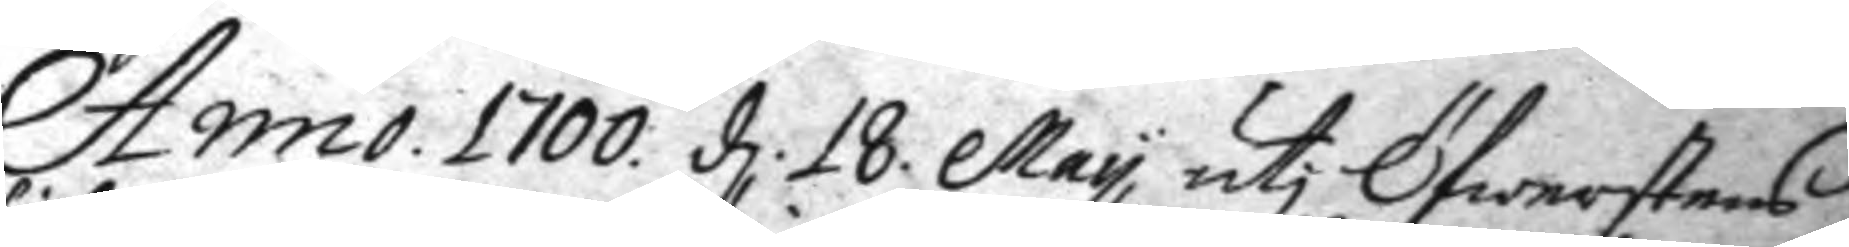Anno 1700. d. 18 may ut Öfwerstens
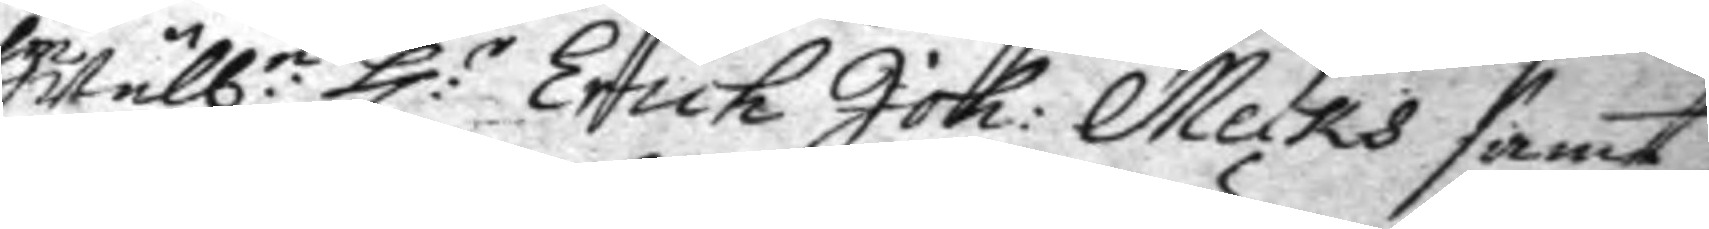Wälb.e h:r Erich Joh: Melks samt
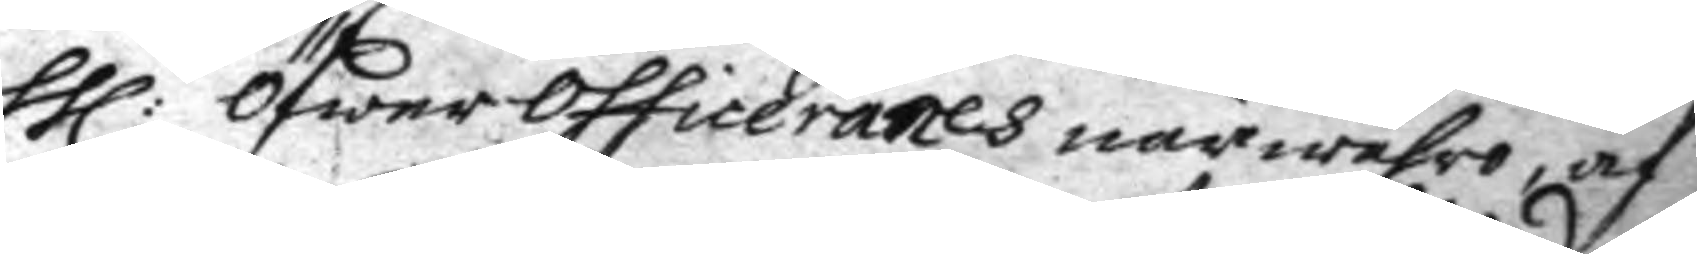h:r öfwer officeranes närwahro, af
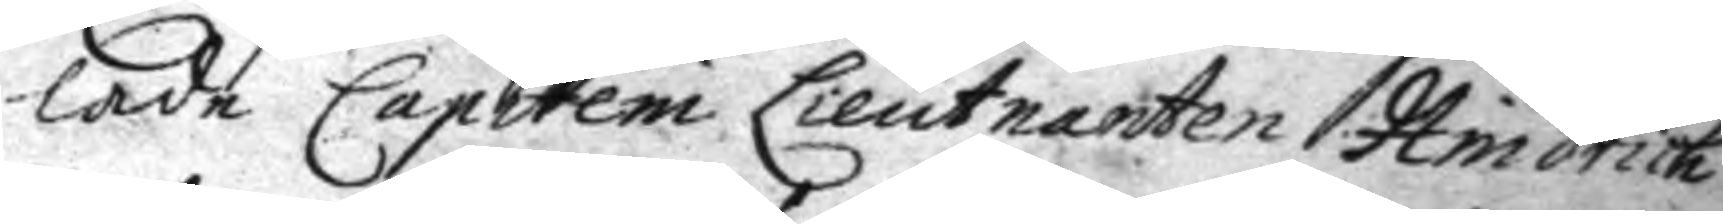lade Capiteni Lieutnanten Hindrich
